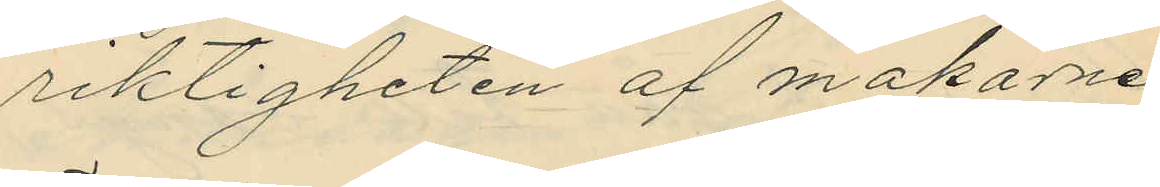riktigheten af makarne
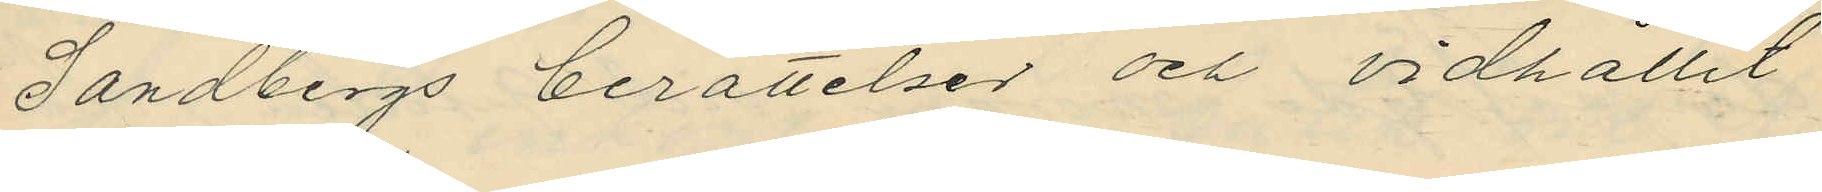Sandbergs berättelser och vidhållit
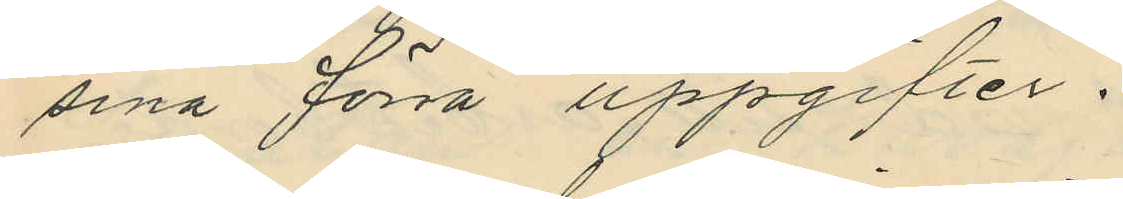sina förra uppgifter.
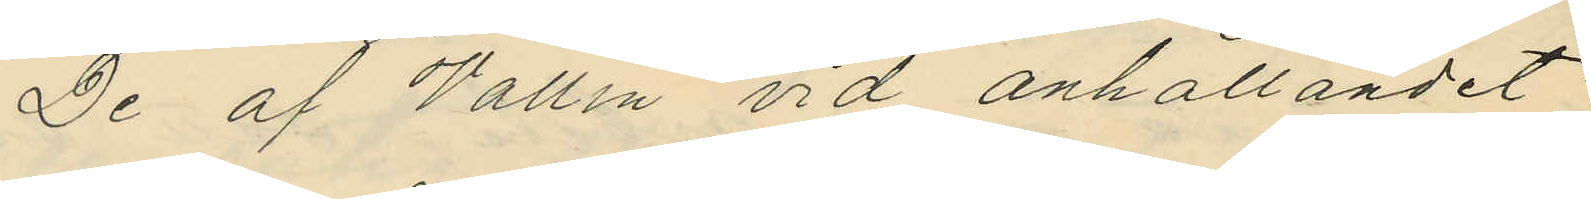De af Wallin vid anhållandet
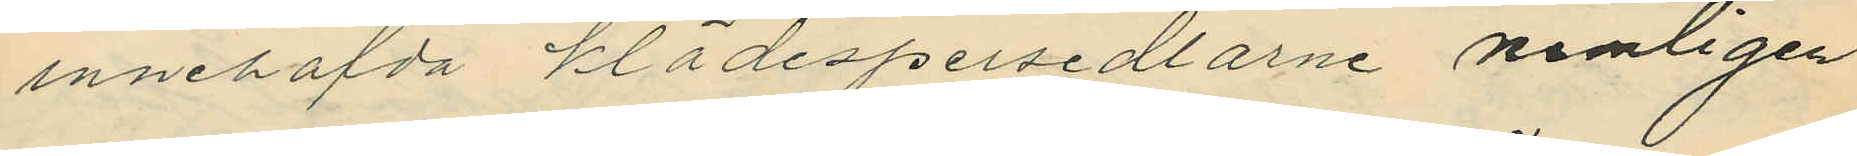innehafvda klädespersedlarne nemligen
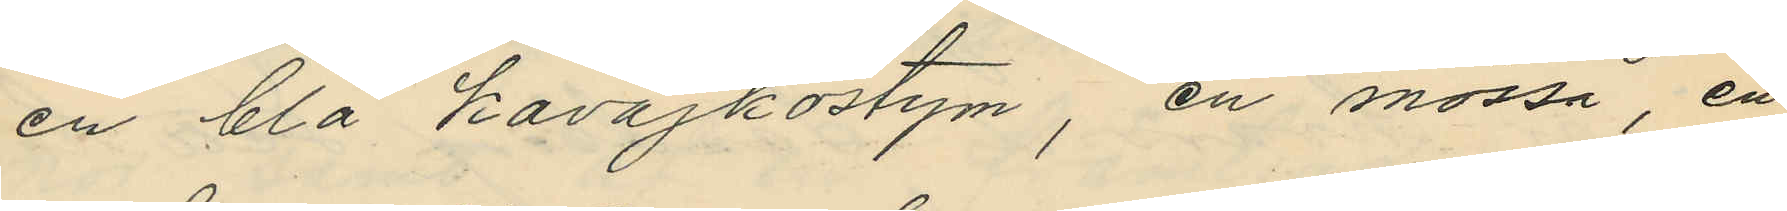en blå kavajkostym, en mössa en
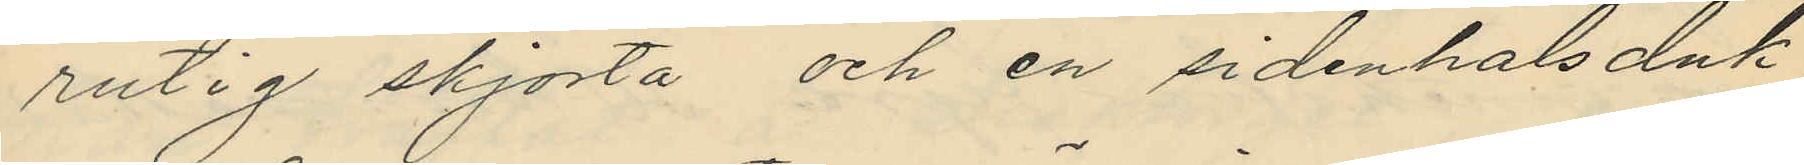rutig skjorta och en sidenhalsduk
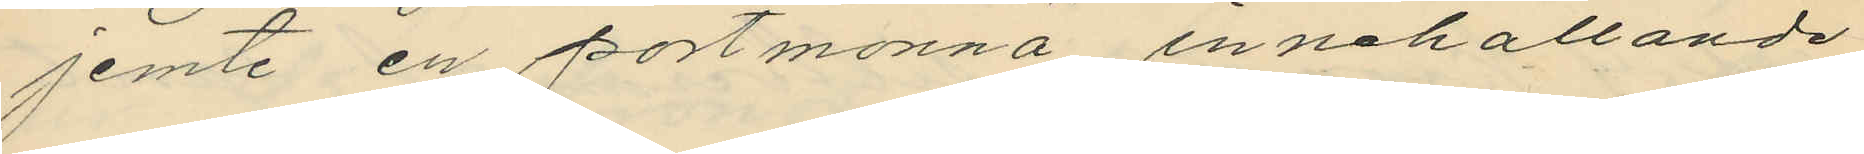jemte en portmonnä innehållande
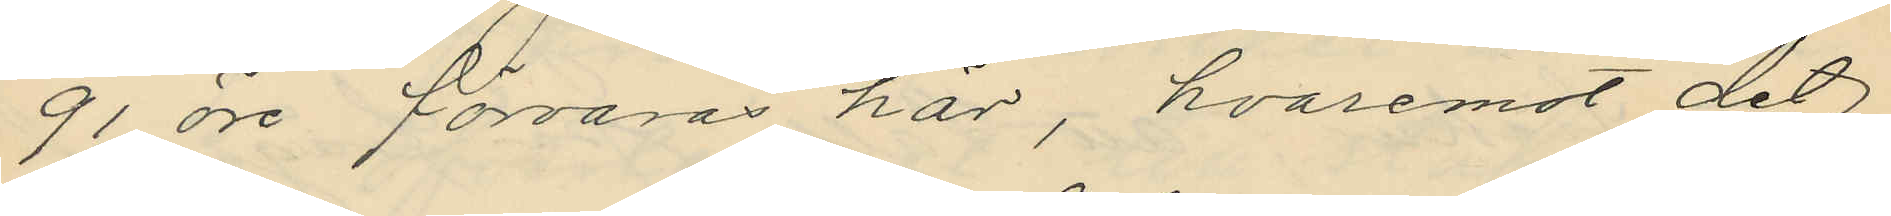91 öre förvaras här, hvaremot det
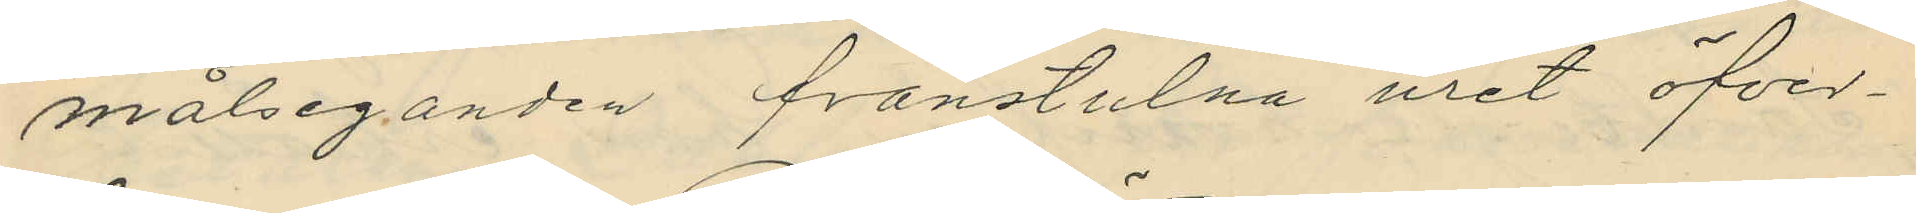målseganden frånstulna uret öfver¬
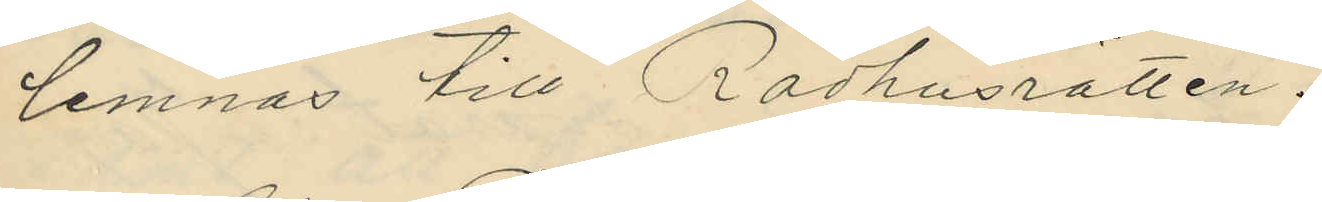lemnas till Rådhusrätten.
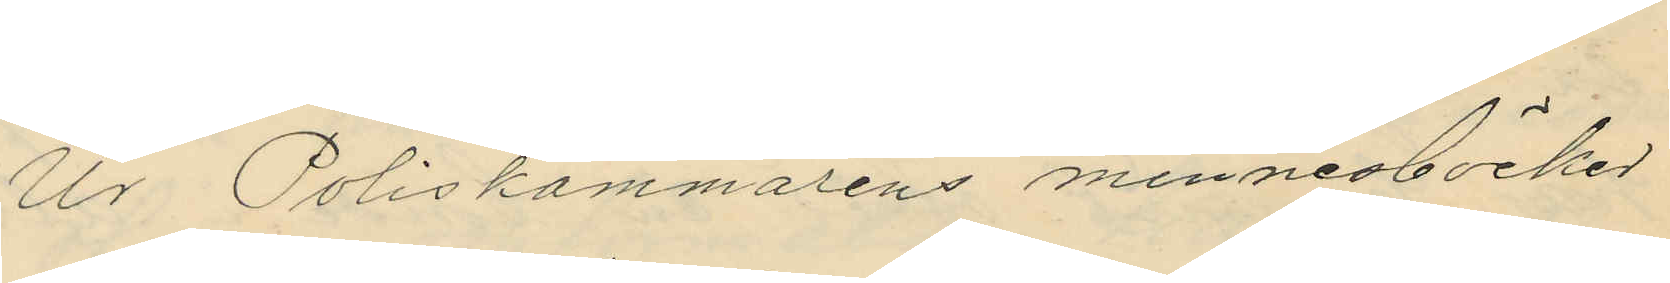Ur Poliskammarens minnesböcker
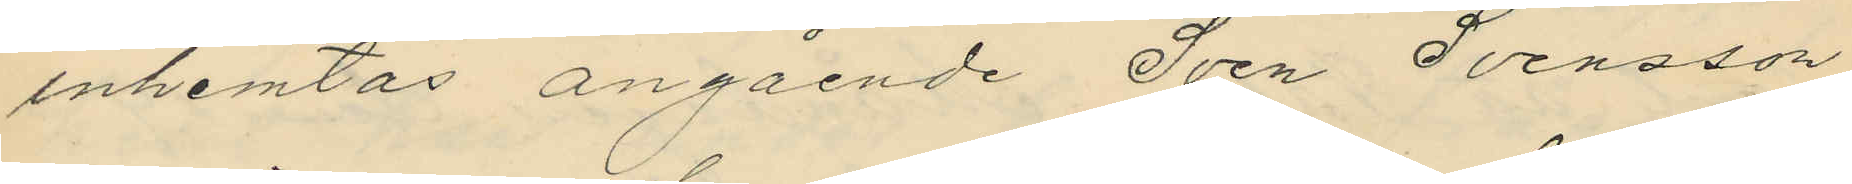inhemtas angående Sven Svensson
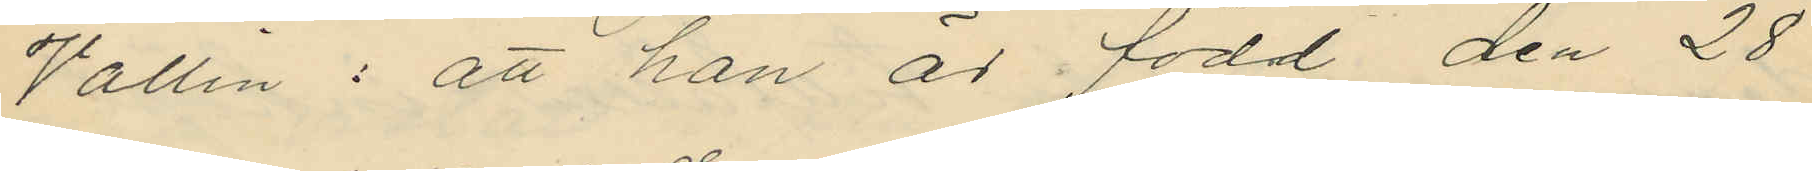Vallin: att han är född den 28
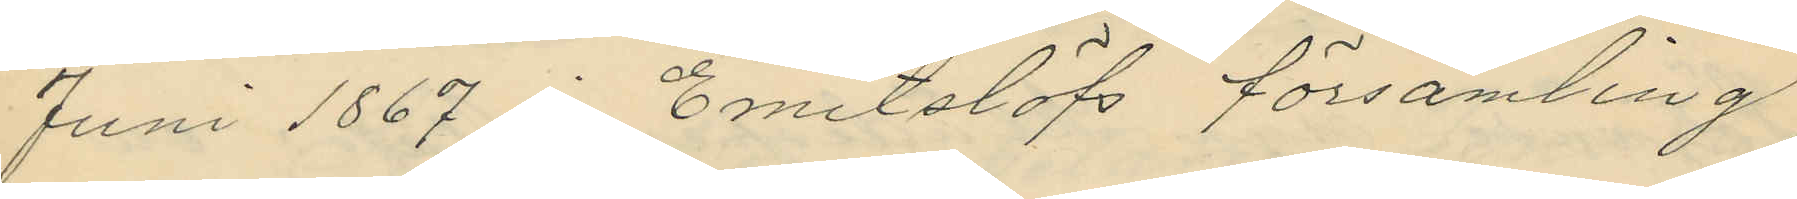Juni 1867 i Emitslöfs församling
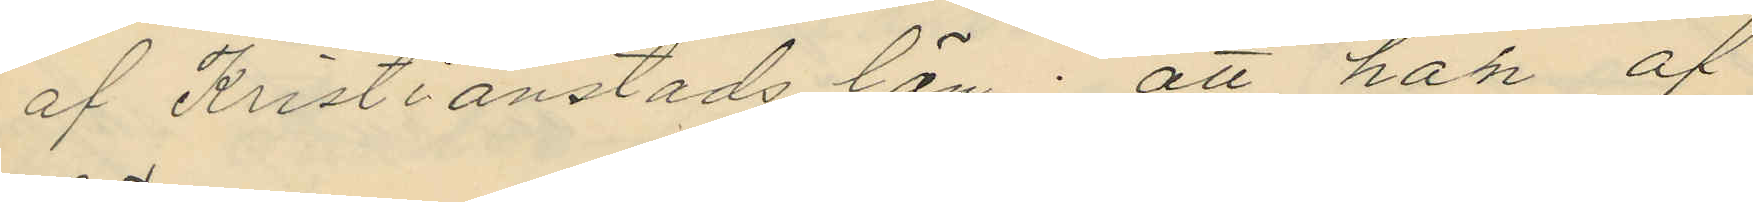af Kristianstads län; att han af
